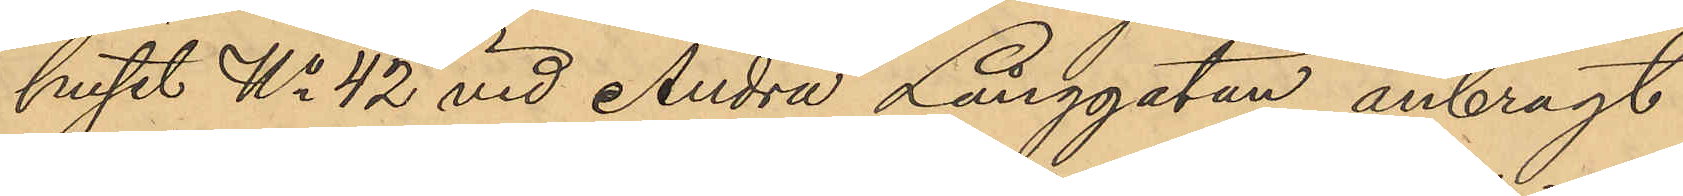huset No 42 vid Andra Långgatan anbragt
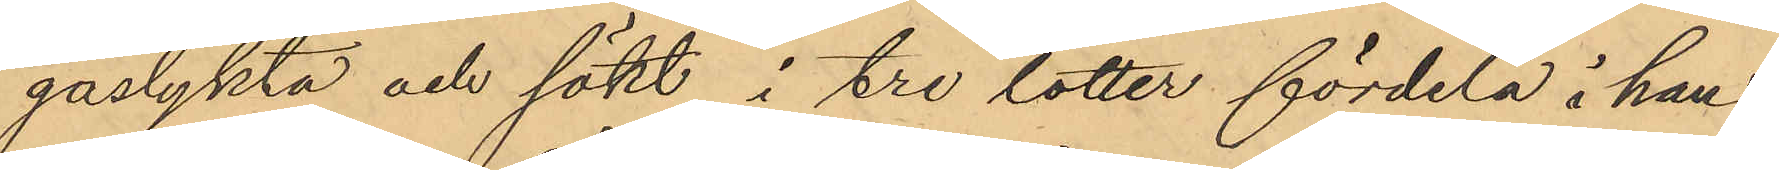gaslykta och sökt i tre lotter fördela i hans
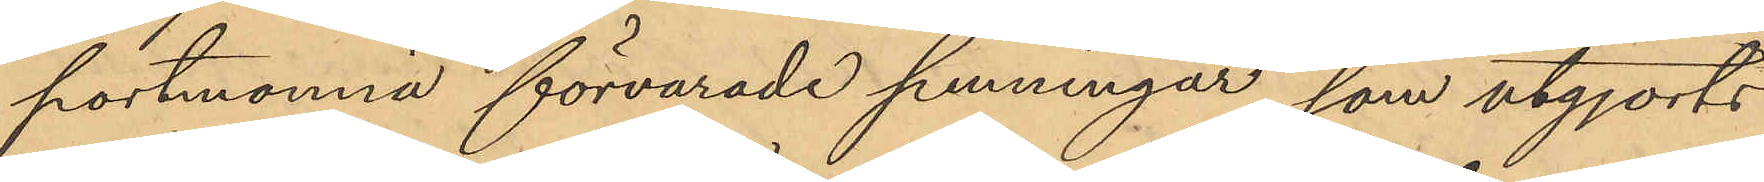portmonnä förvarade penningar, som utgjorts
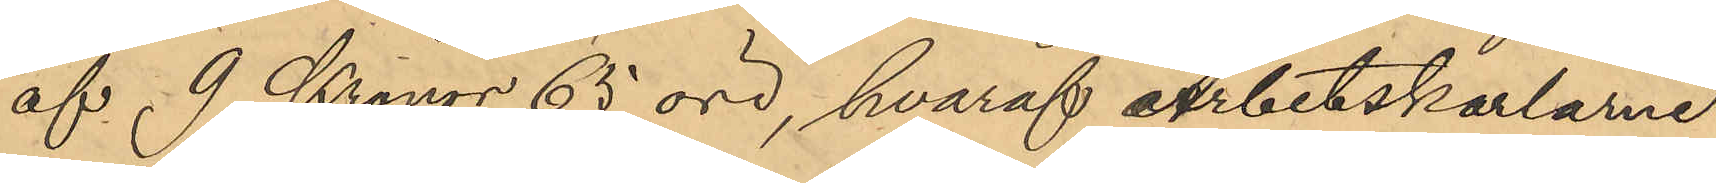af 9 Kronor 65 öre, hvaraf Arbetskarlarne
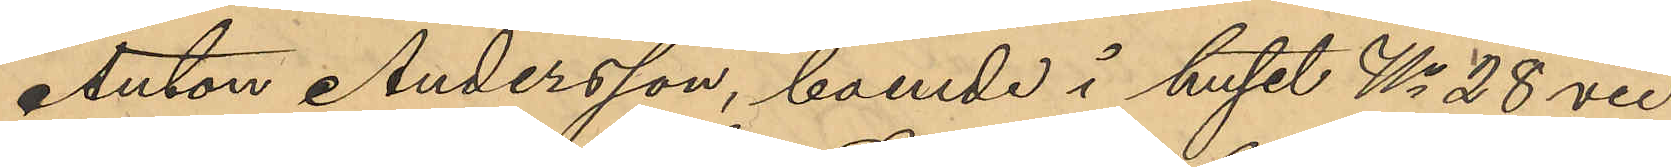Anton Andersson, boende i huset No 28 vid
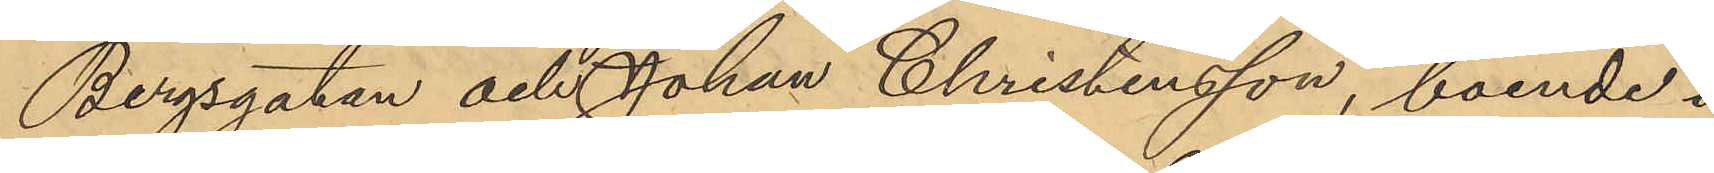Bergsgatan och Johan Christensson, boende i
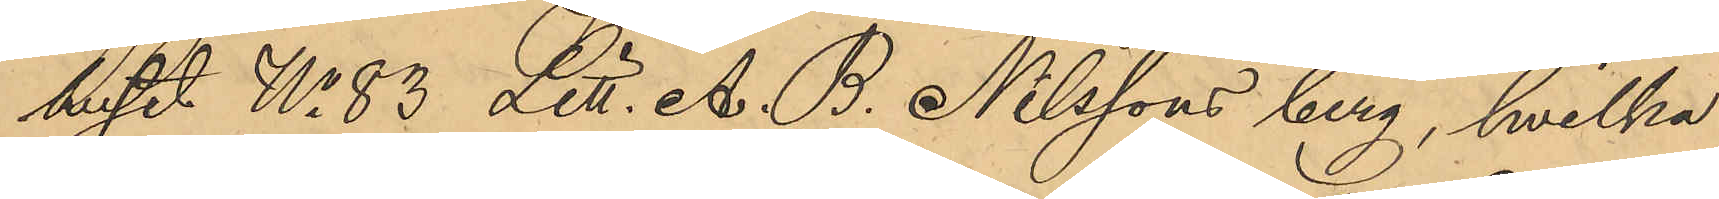huset No 83 Litt. A. B. Nilssons berg, hvilka
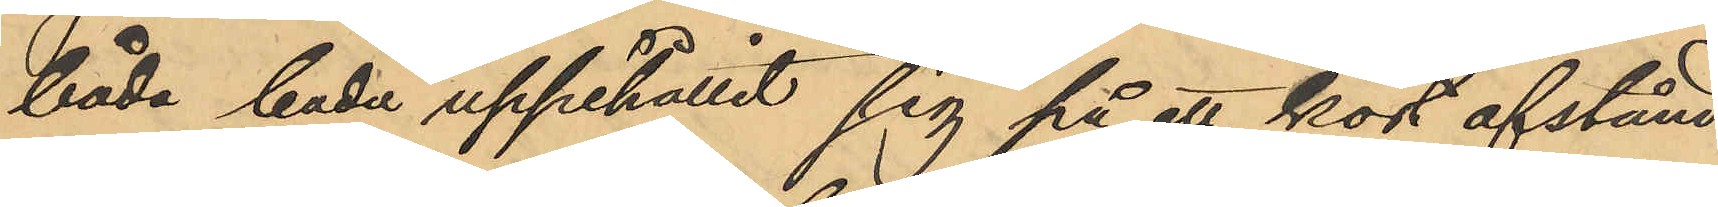båda hade uppehållit sig på ett kort afstånd
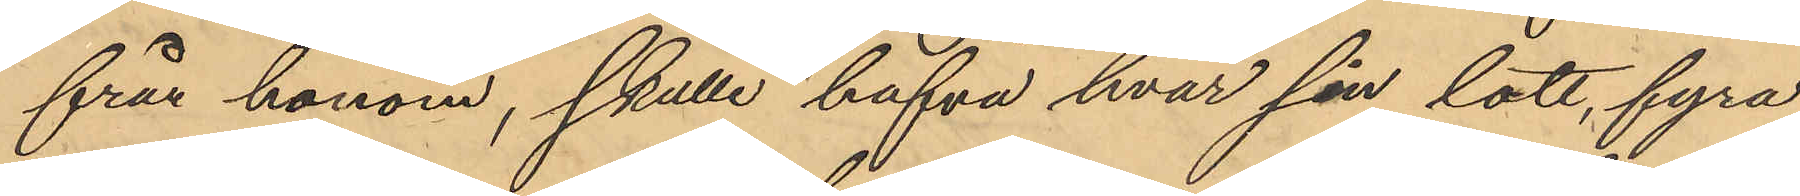från honom, skulle hafva hvar sin lott, fyra
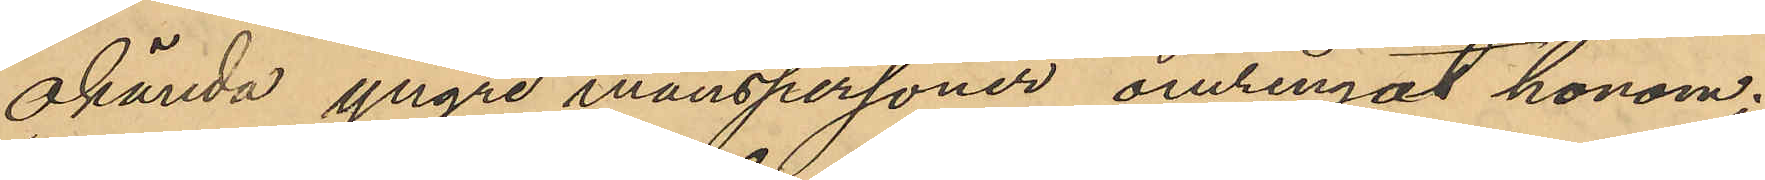okända yngre manspersoner omringat honom.
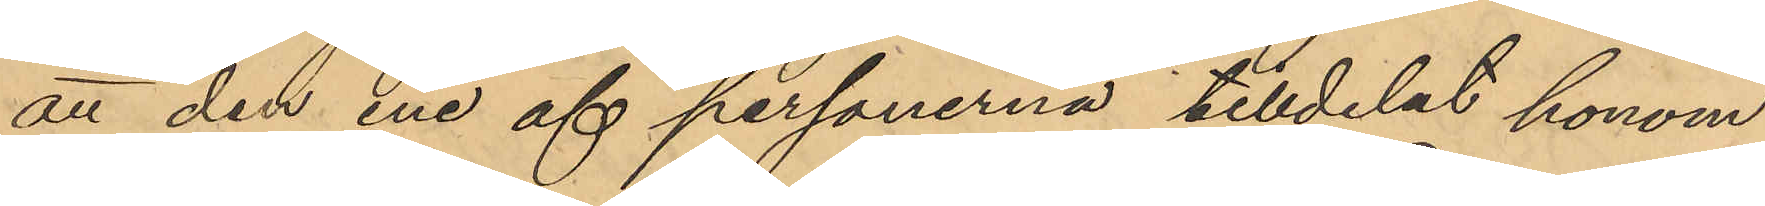att den ene af personerna tilldelat honom
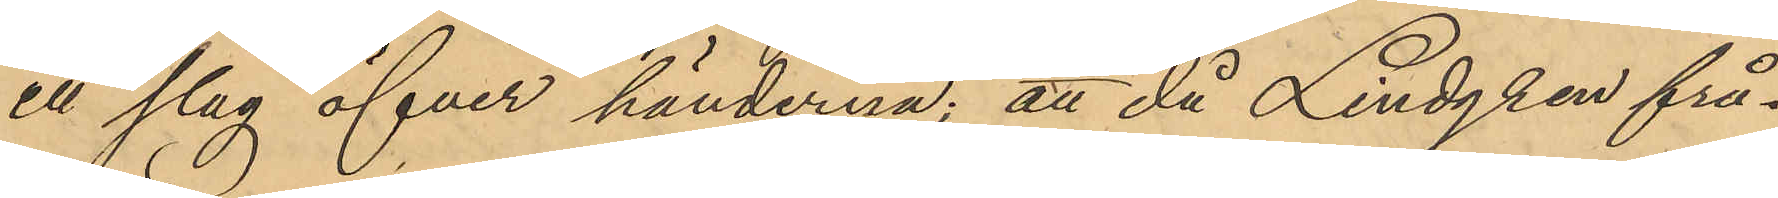ett slag öfver händerna; att då Lindgren frå¬
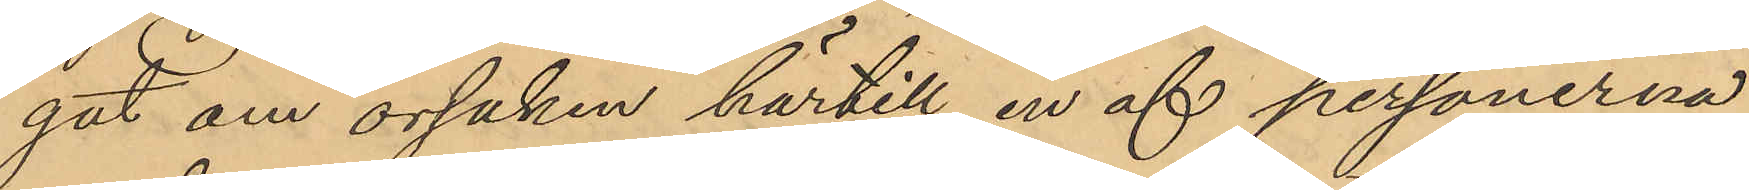gat om orsaken härtill en af personerna
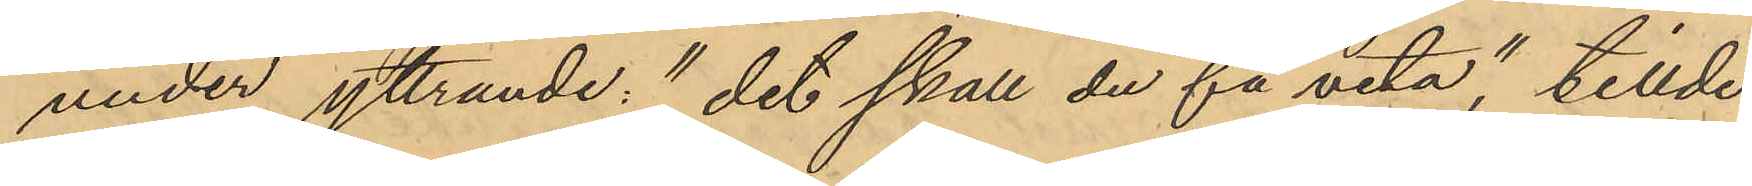under yttrande: "det skall du få veta", tillde¬
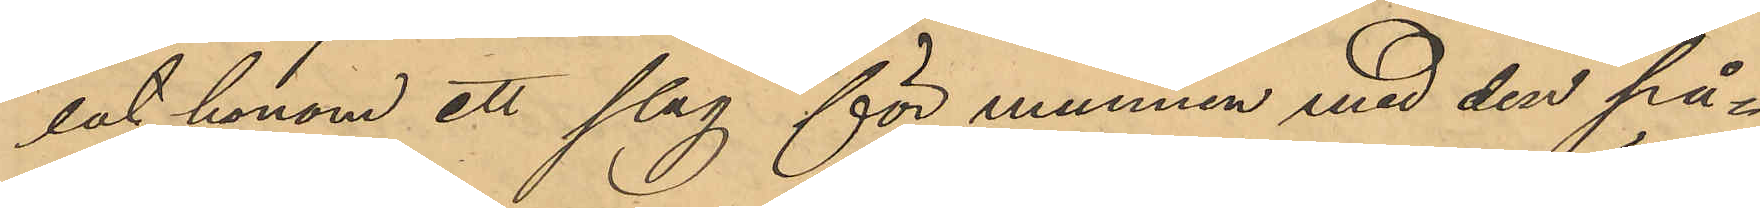lat honom ett slag för munnen med den på¬
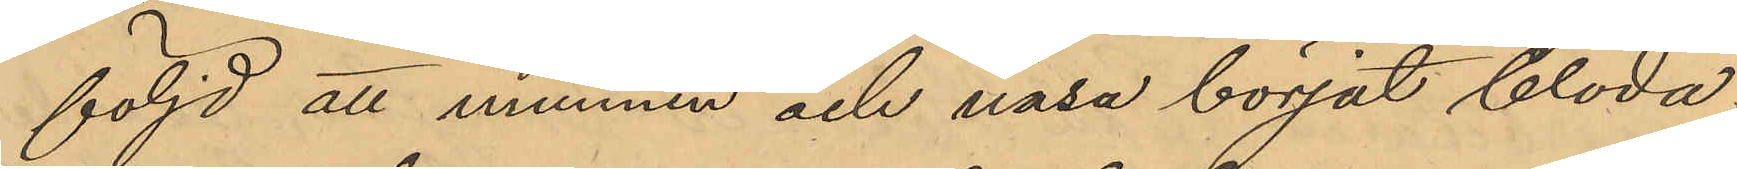följd att munnen och näsa börjat blöda,
